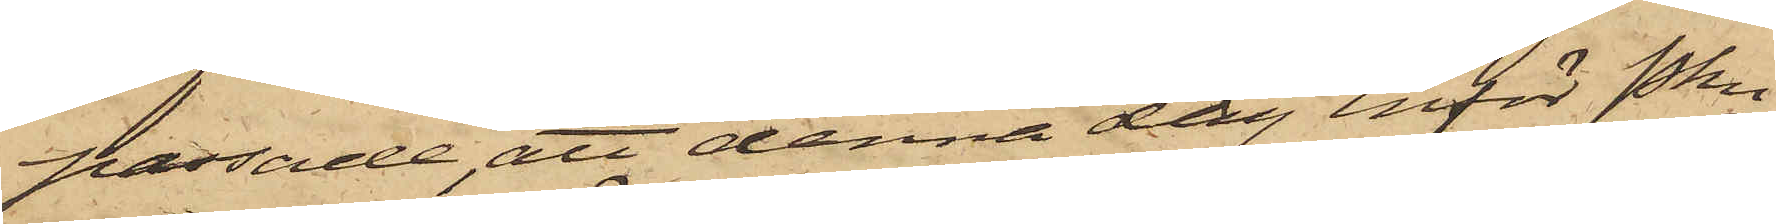passade, att denna dag inför Pkn
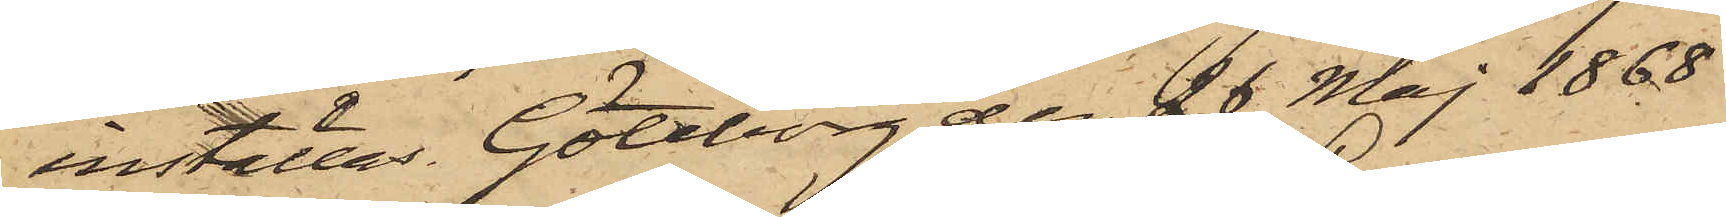inställas. Göteborg den 26 Maj 1868.
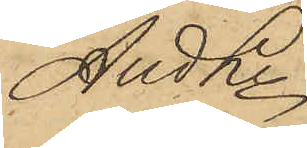And Ln
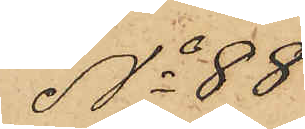No 88
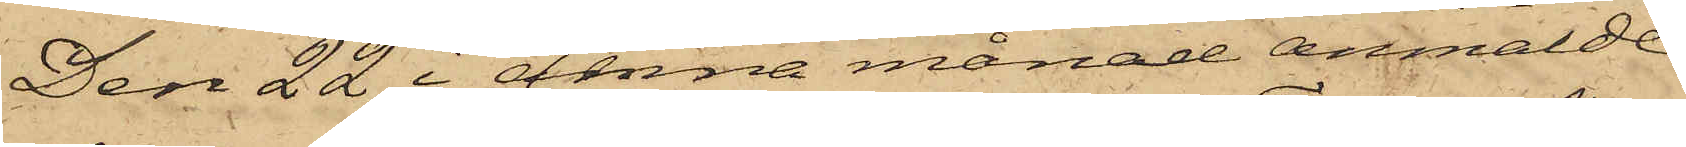Den 22 i denna månad anmälde
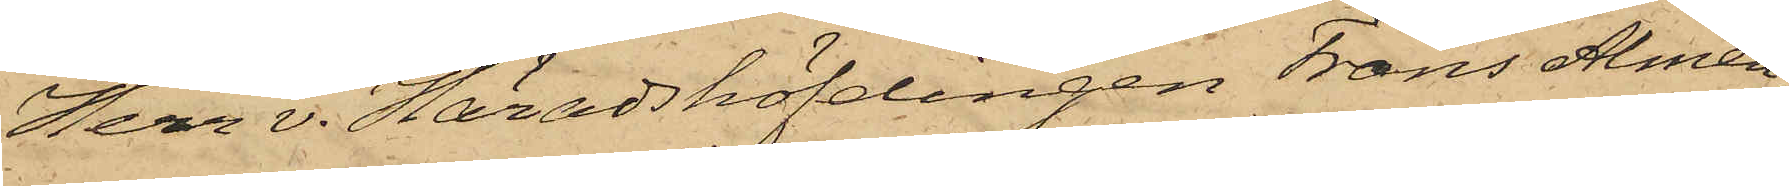Herr v. Häradshöfdingen Frans Almén
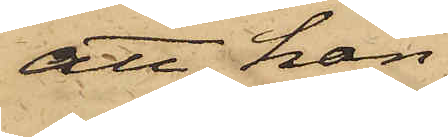att han
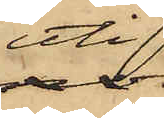uti
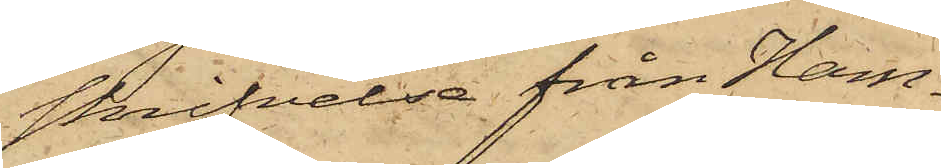skrifvelse från Ham¬
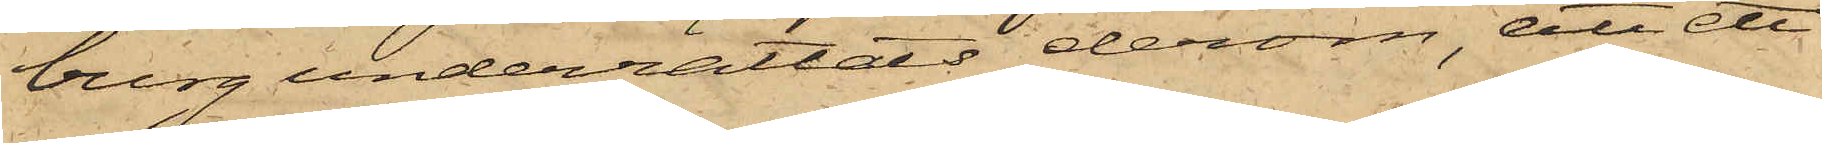burg underrättats derom, att ett
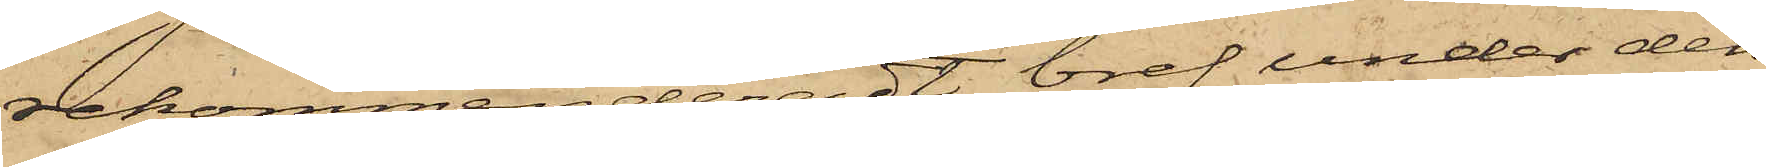rekommenderadt bref under den
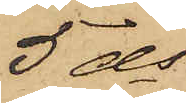5 ds
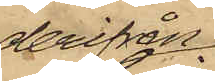derifrån
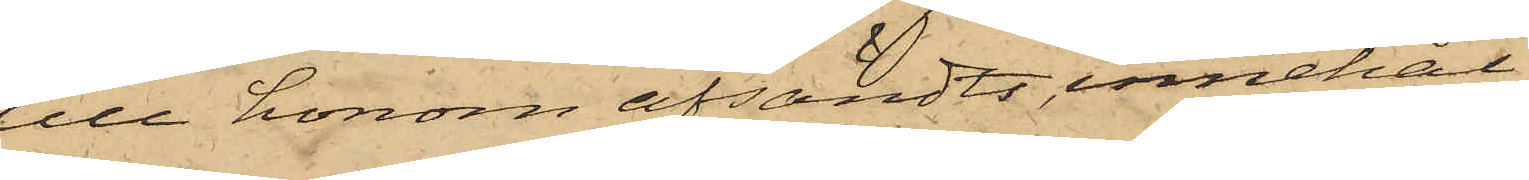till honom afsändts, innehål¬
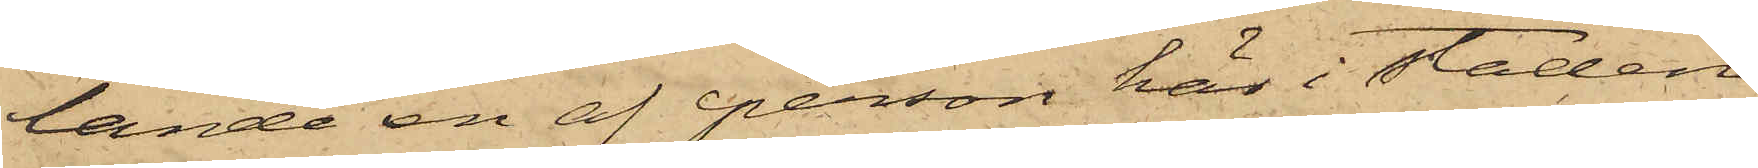lande en af person här i staden
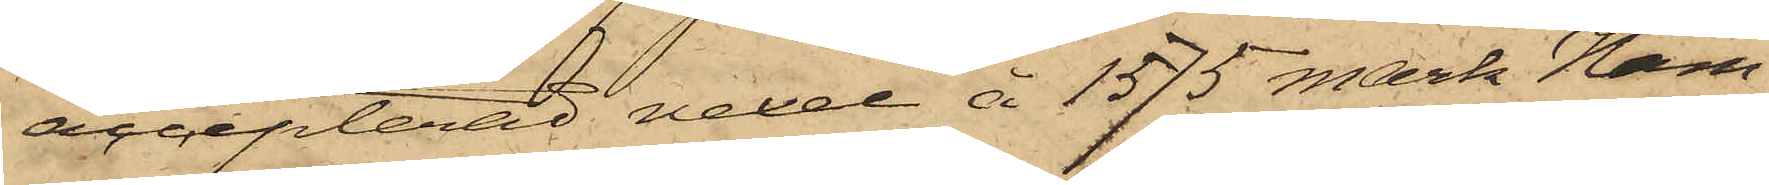accepterad vexel å 1575 mark Ham¬
